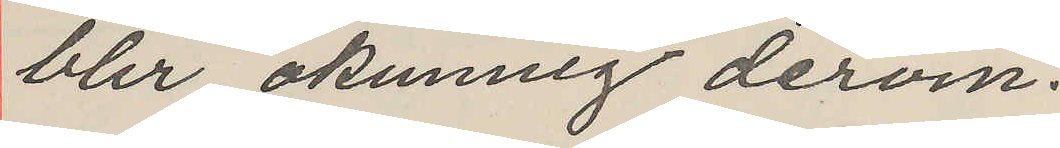ller okunnig derom.
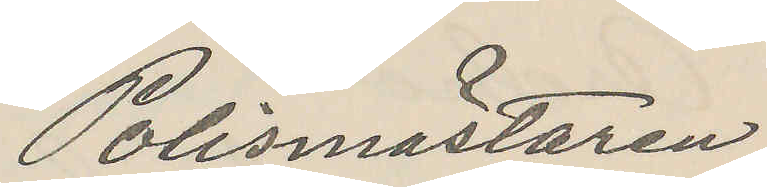Polismästaren
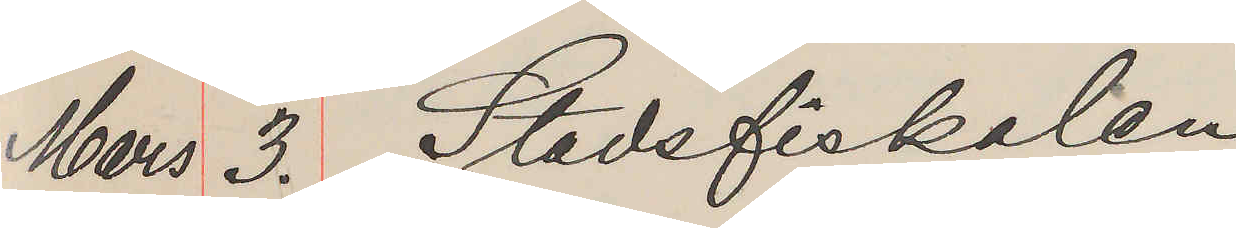Mers 3. Stadsfiskalen
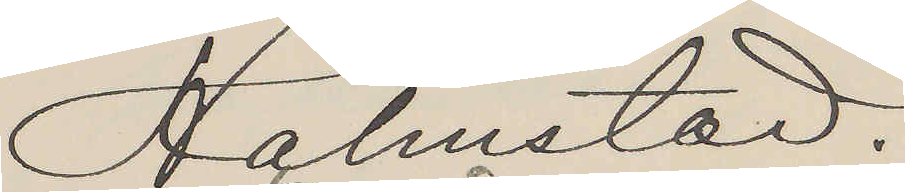Halmstad.
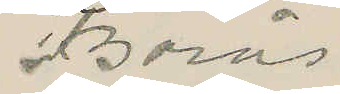Börås
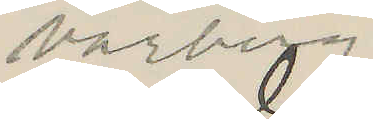varbegg
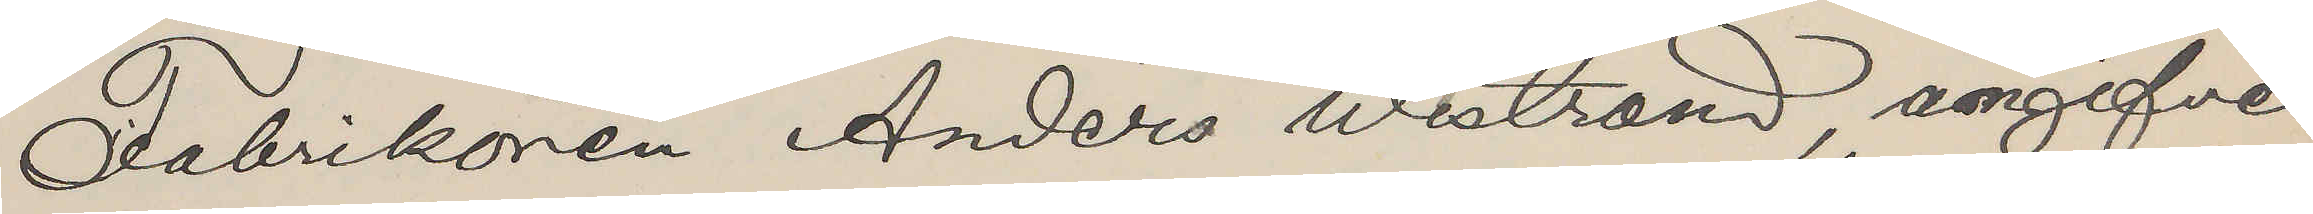Fabrikören Anders Westrand ångifven
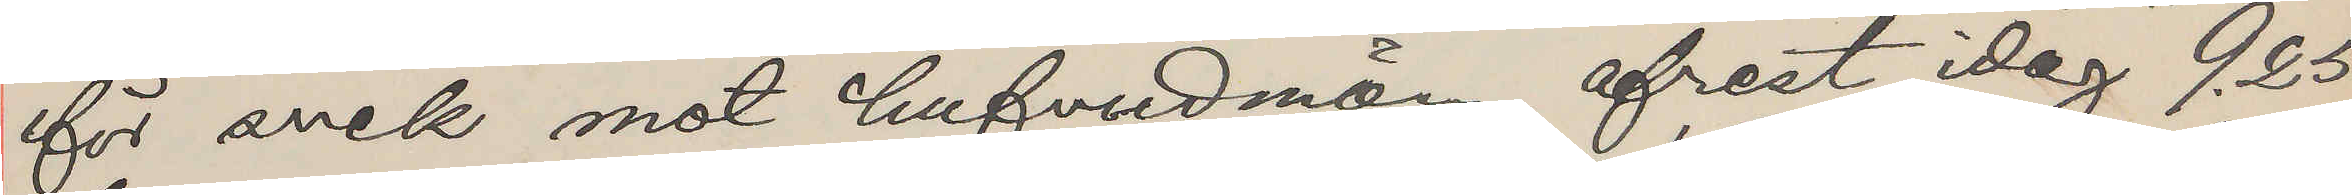för sock mot hufvudnan afrest idag 9.25
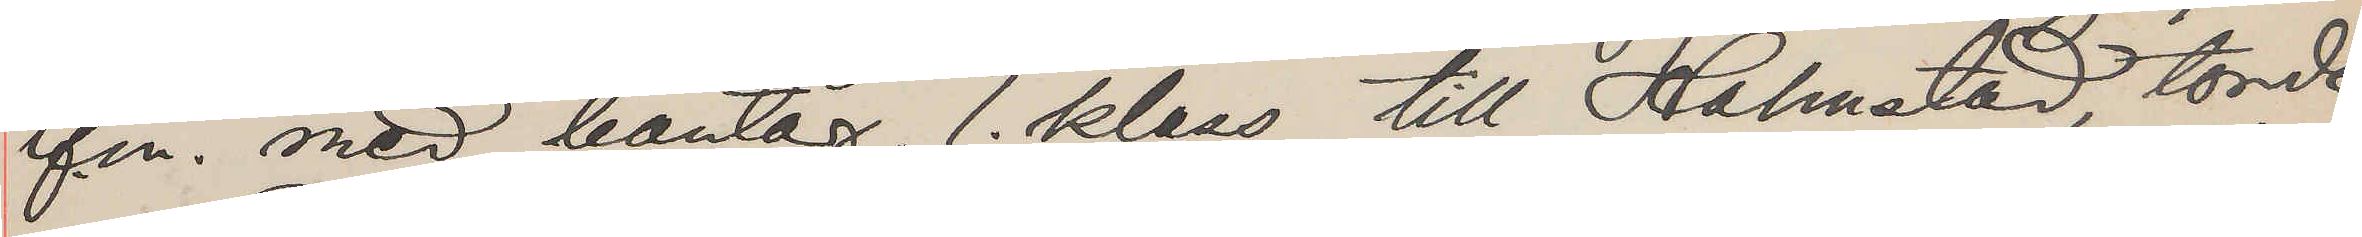ifn med bantåg, 1. klaas till Halmstad törde
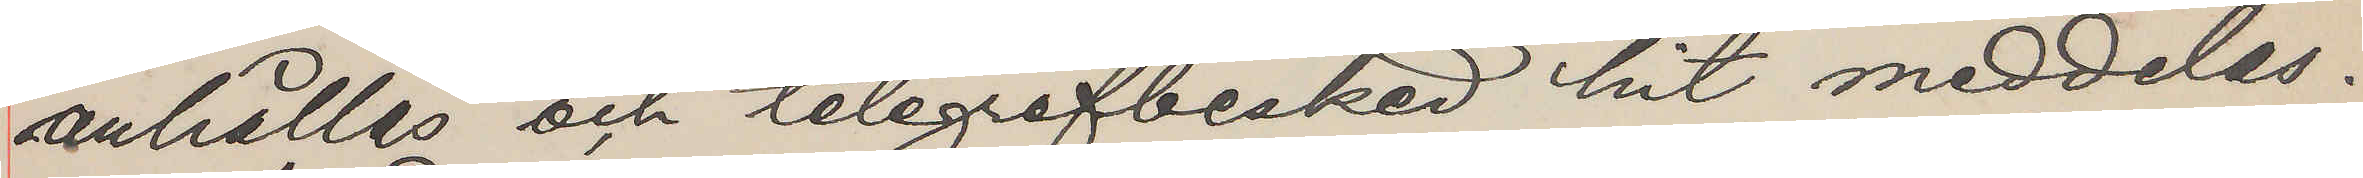anhälles och telegrafbesked hit meddelas.
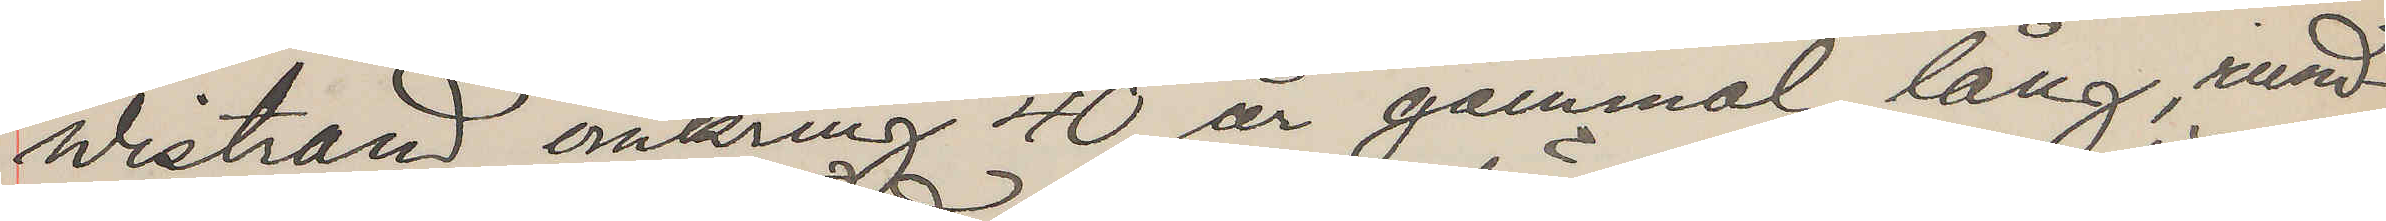Westrand omkring 40 år gammal läng, mmed
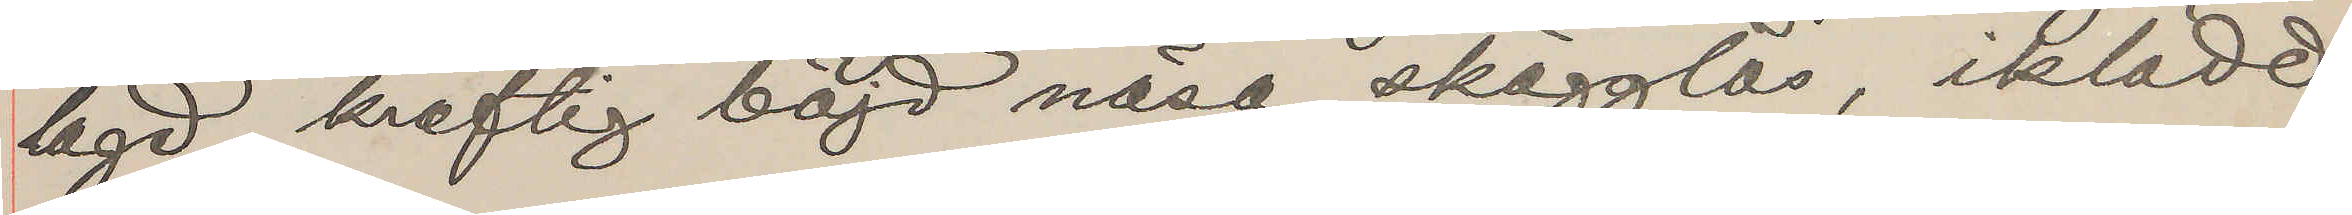byd kreftig börd näsa skägglås, inlädt
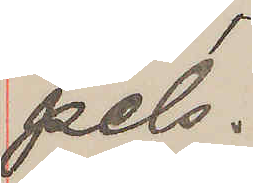pels.
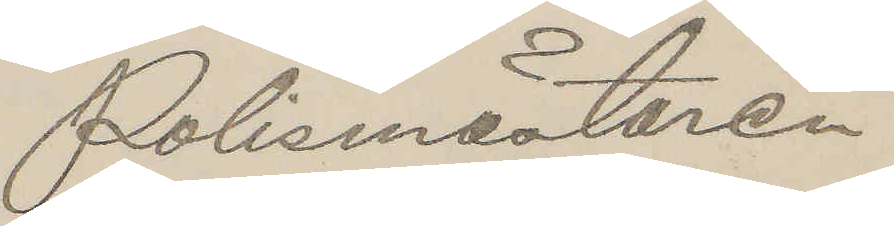Polismästaren
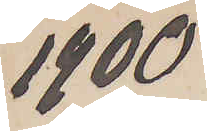1900
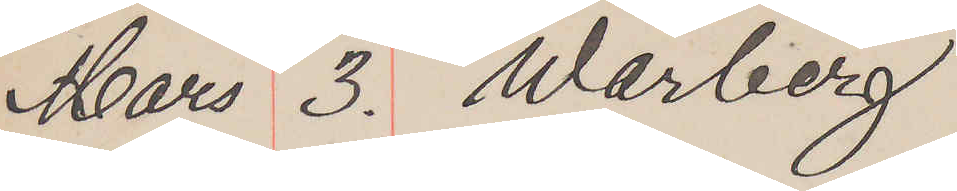Mars 3. Warberg
